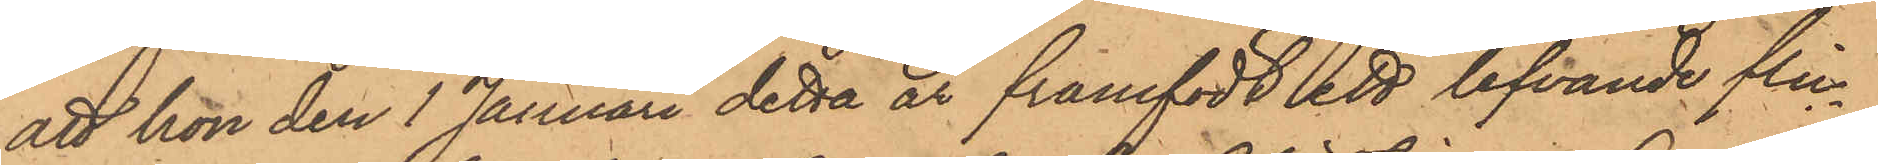att hon den 1 Januari detta år framfört ett lefvande flic¬
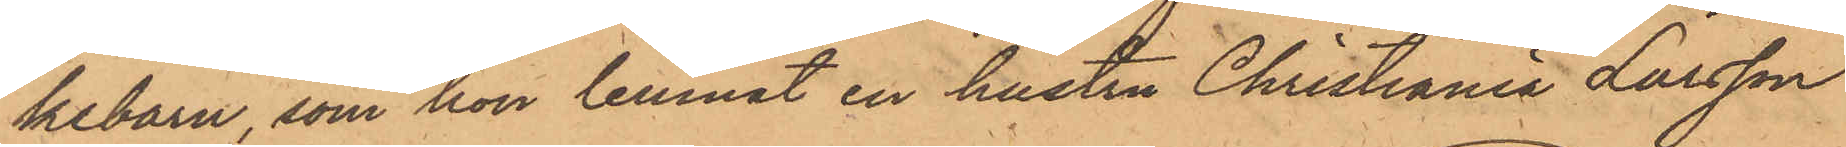kebarn, som hon lemnat en hustru Christiania Larsson
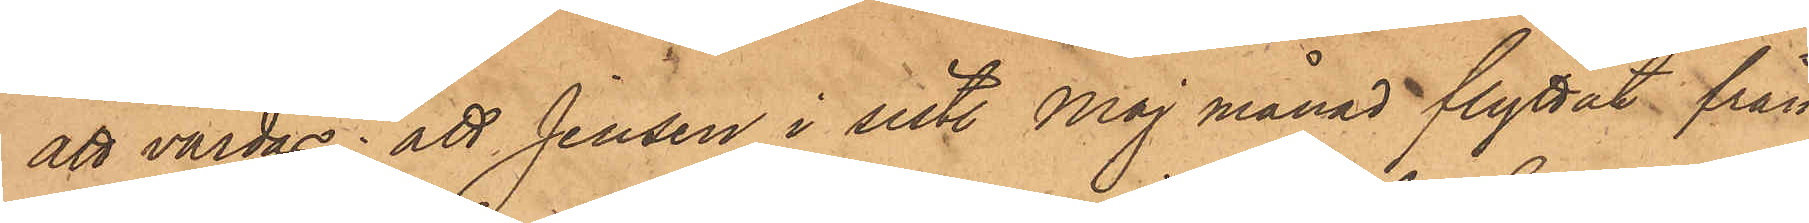att vårdas; att Jensen i sistl. Maj månad flyttat från
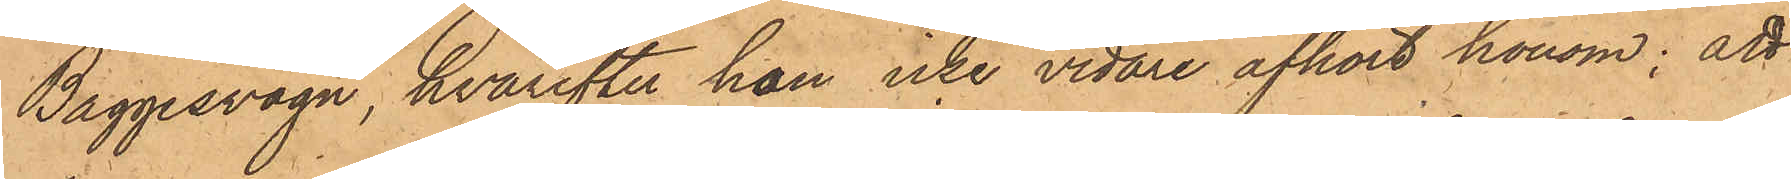Baggesvogn, hvarefter hon icke vidare afhört honom; att
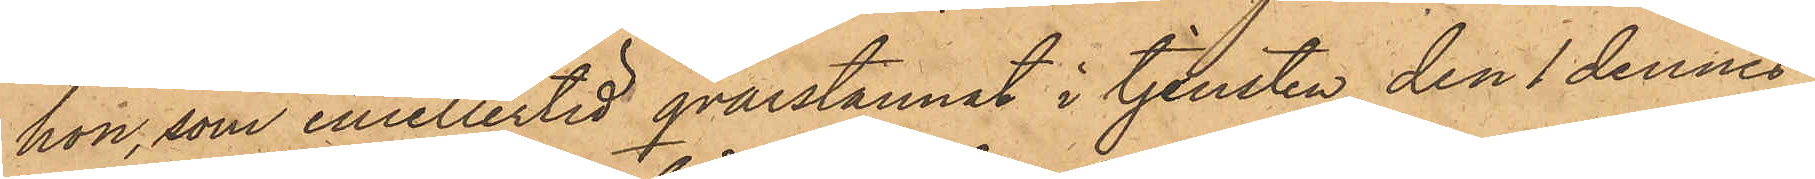hon, som emellertid qvarstannat i tjensten, den 1 dennes
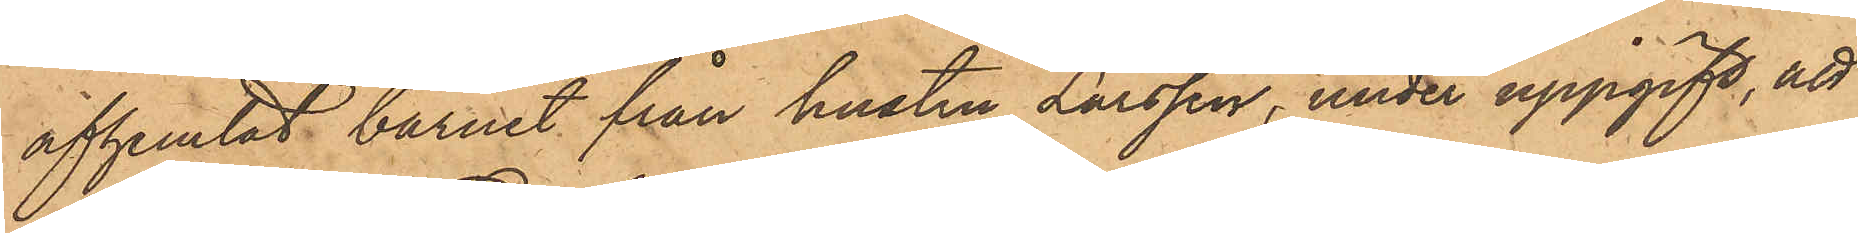afhemtat barnet från hustru Larssen, under uppgift, att
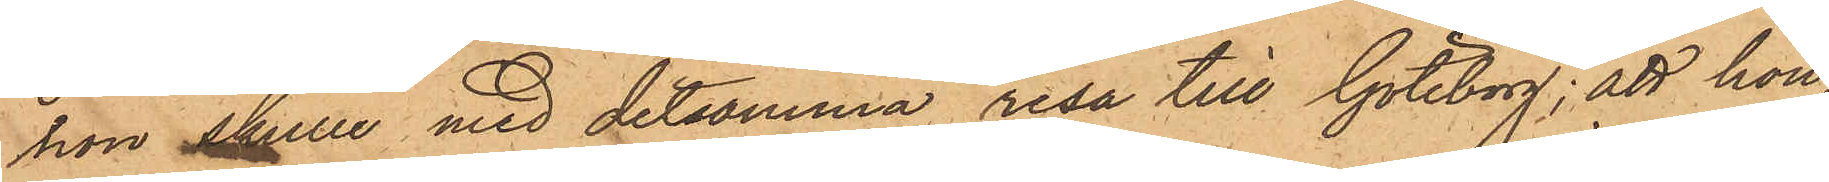hon skulle med detsamma resa till Göteborg; att hon,
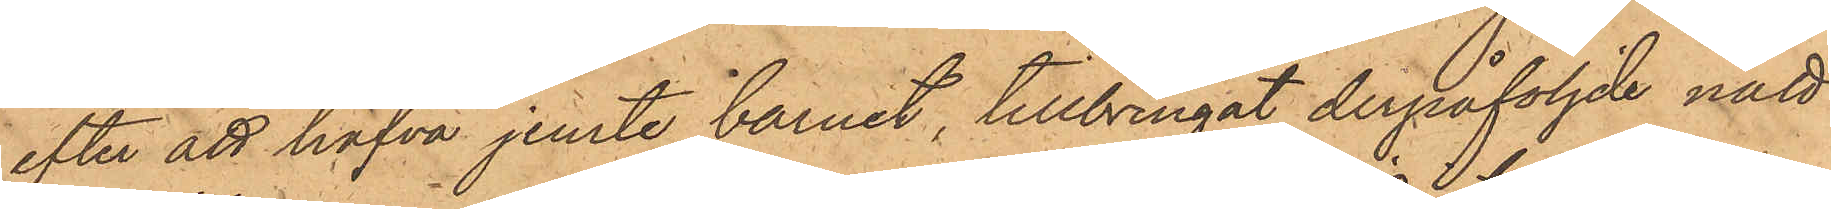efter att hafva jemte barnet, tillbringat derpåföljde natt
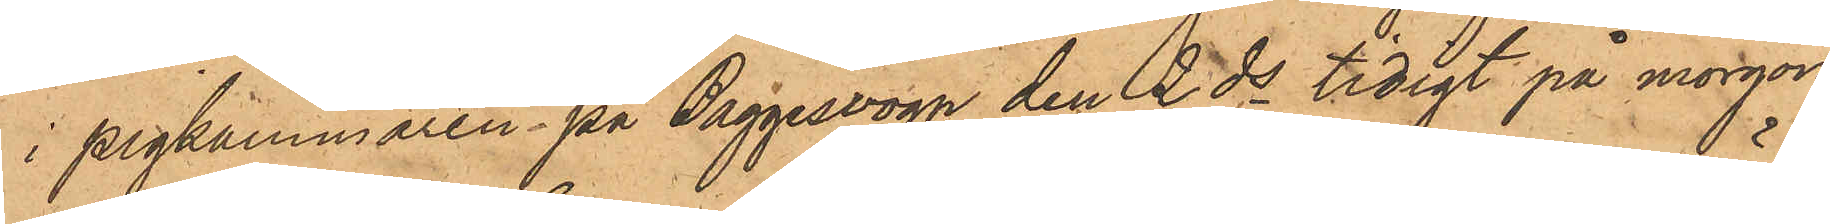i pigkammaren på Baggesvogn den 2 ds tidigt på morgon
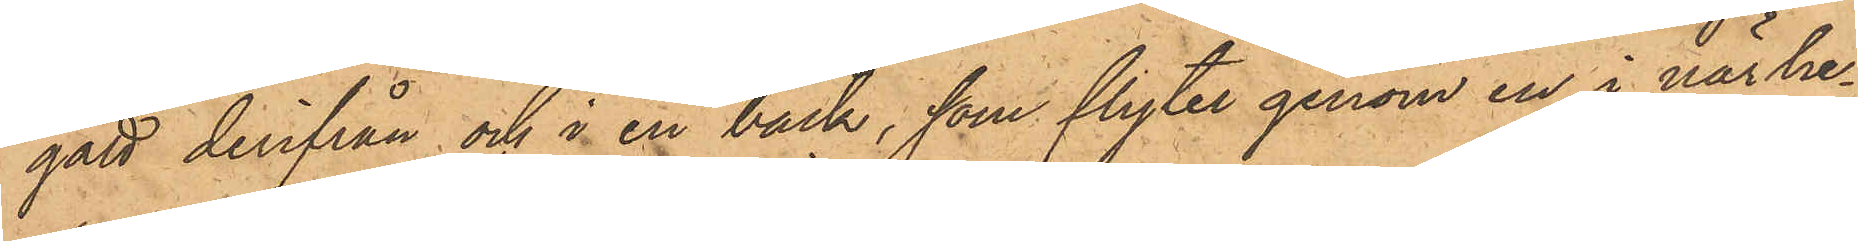gått derifrån och i en bäck, som flyter genom en i närhe¬
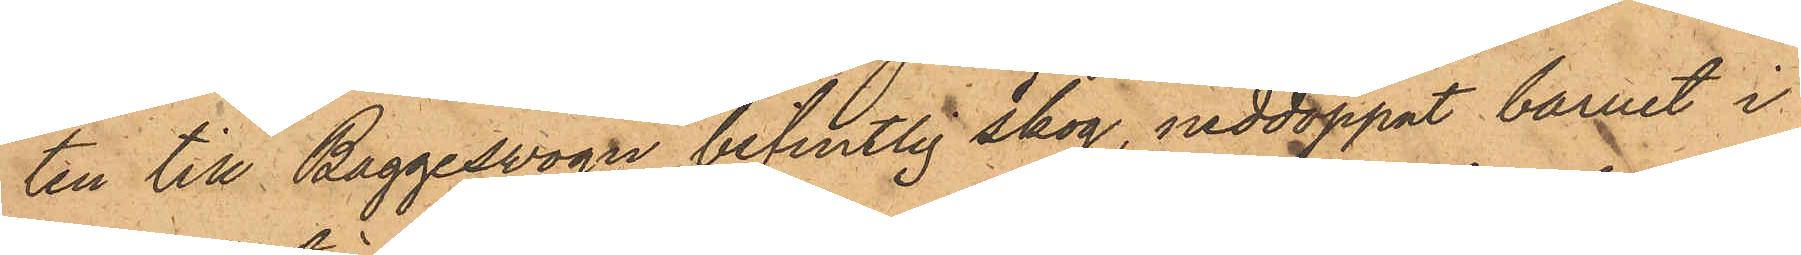ten till Baggesvogn befintlig skog, neddoppat barnet i
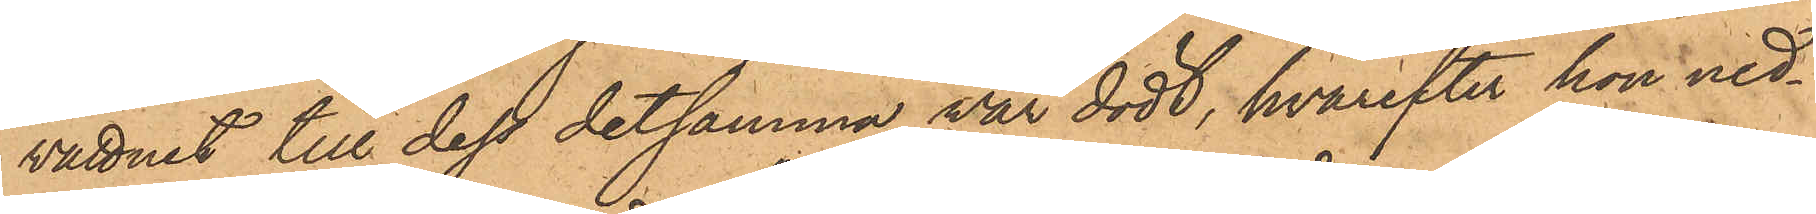vattnet till dess detsamma var dödt, hvarefter hon ned¬
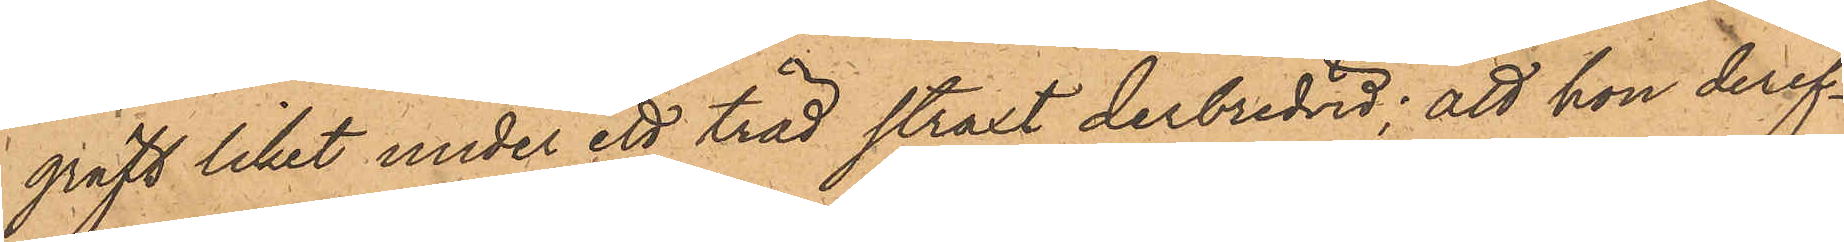gräft liket under ett träd straxt derbredvid; att hon deref¬
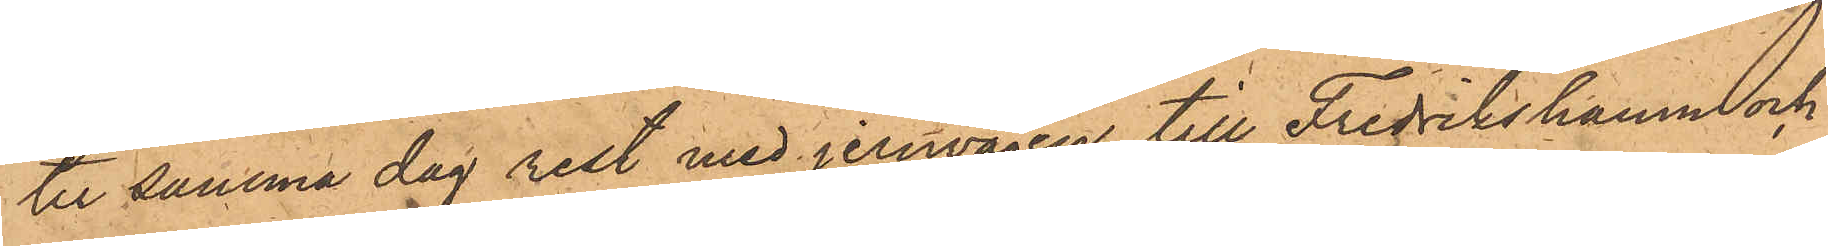ter samma dag rest med jernvägen till Fredrikshamn och
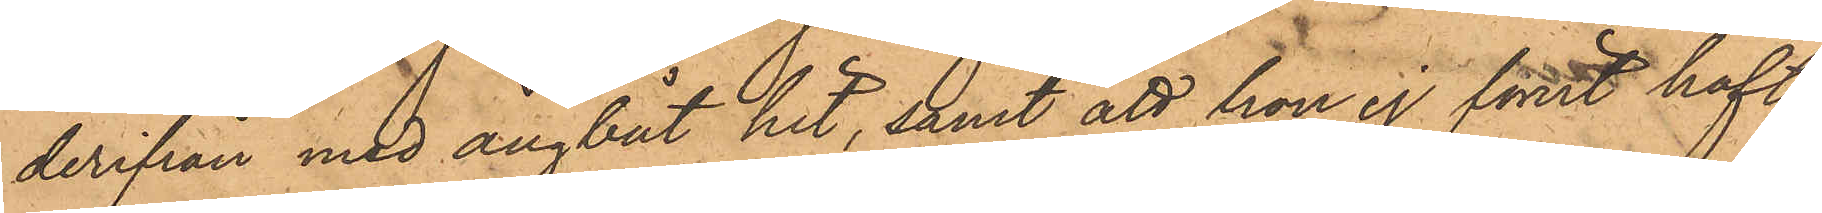derifrån med ångbåt hit, samt att hon ej förut haft
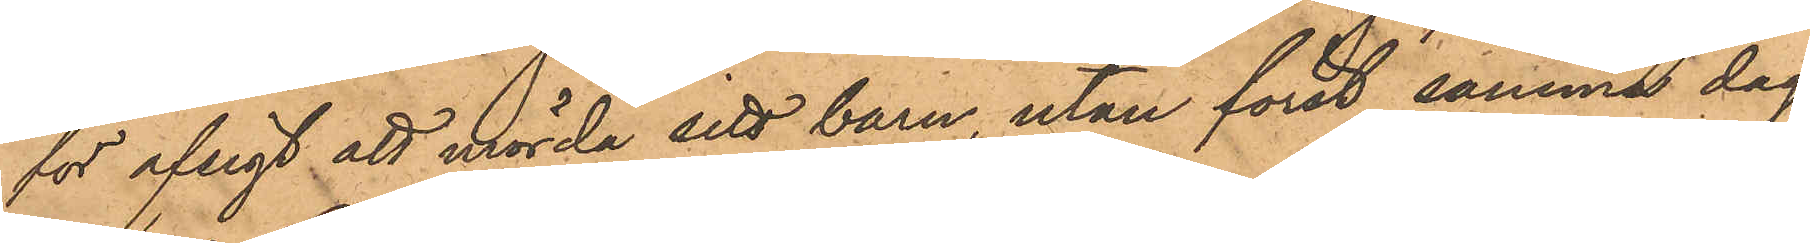för afsigt att mörda sitt barn, utan först samma dag
